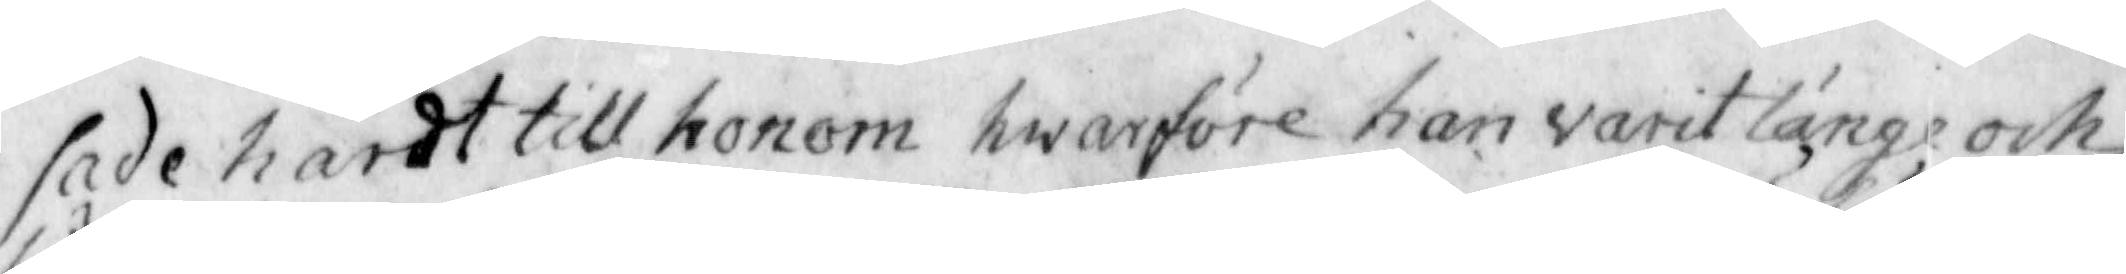sade hårdt till honom hwarföre han varit länge och
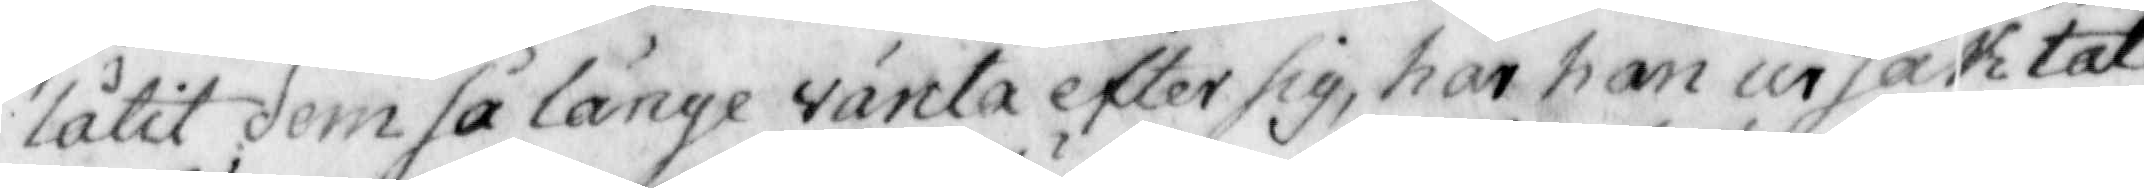låtit dem så länge vänta efter sig, har han ursäktat
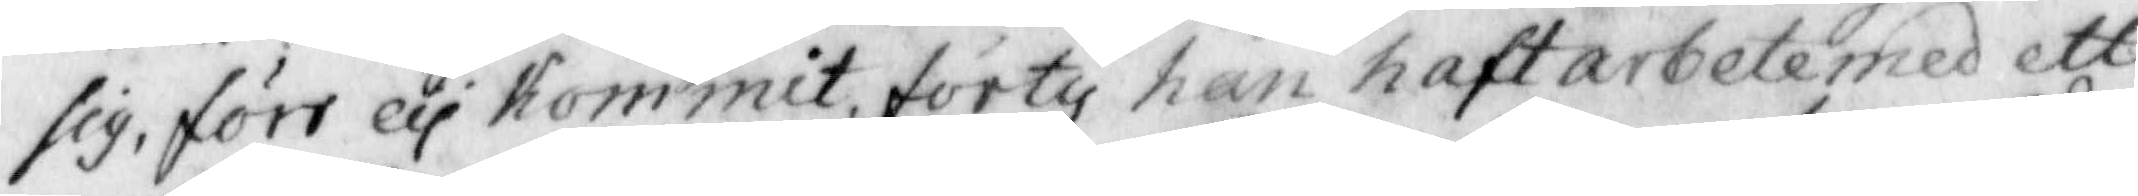sig, förr eij Kommit förty han haft arbete med ett
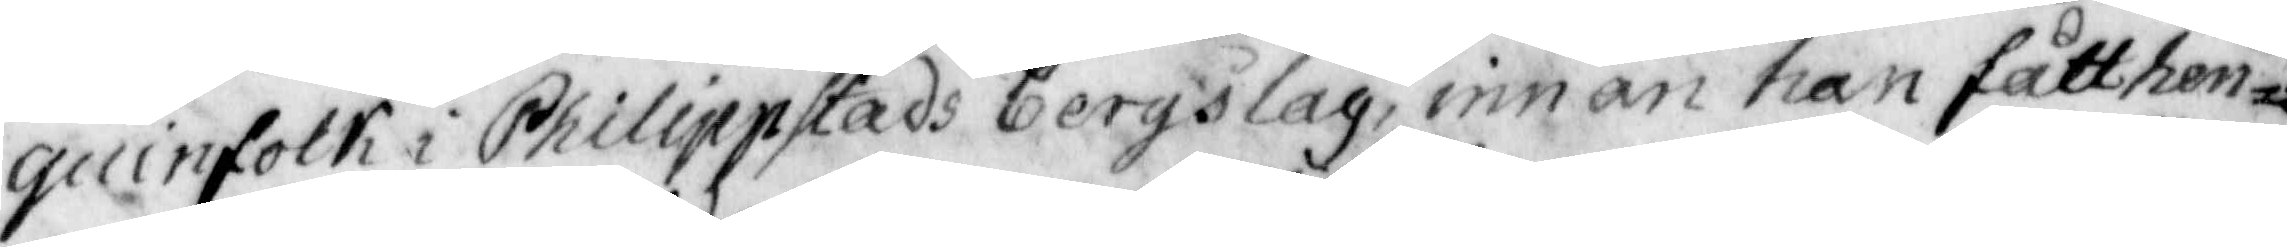quinfolck i Philippstads bergslag, innan han fått hen¬
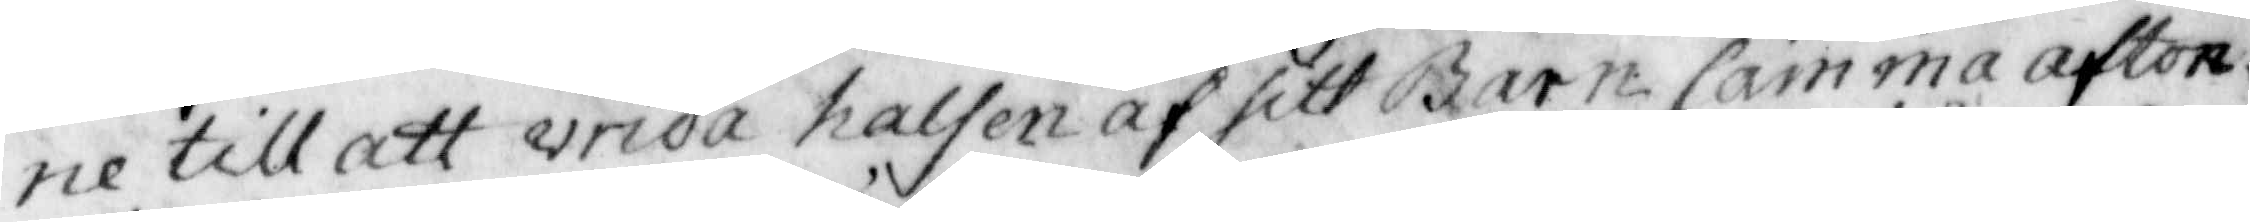ne till att vrida halsen af sitt Barn samma afton
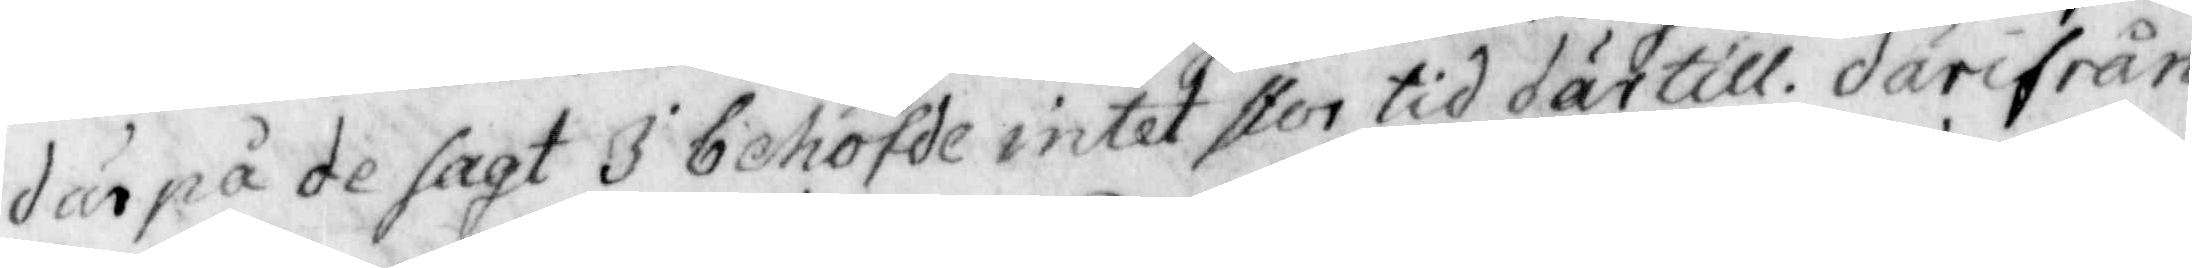därpå de sagt I behöfde intet stor tid därtill. därifrån
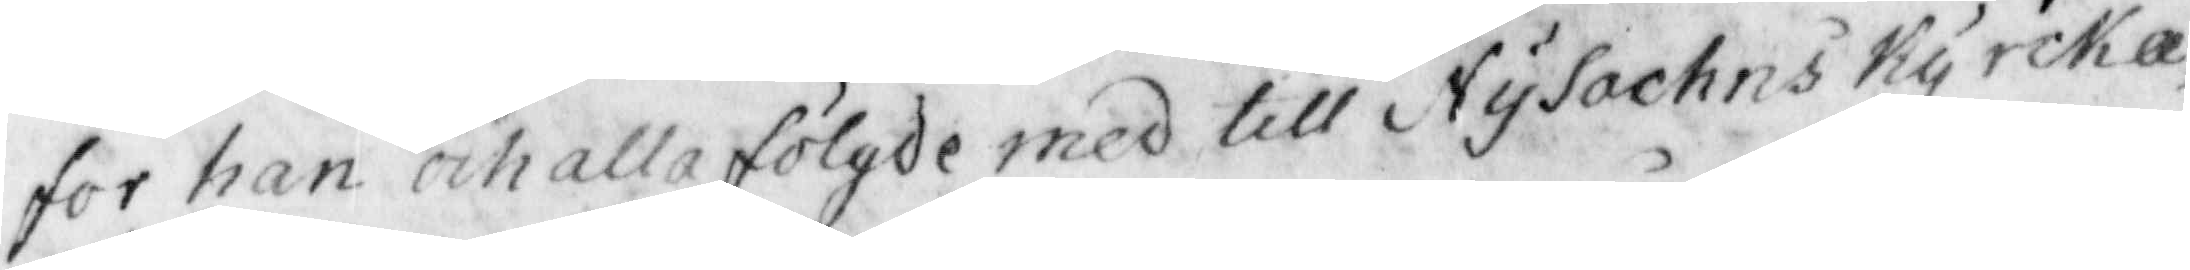for han och alla fölgde med till NySochns Kyrcka,
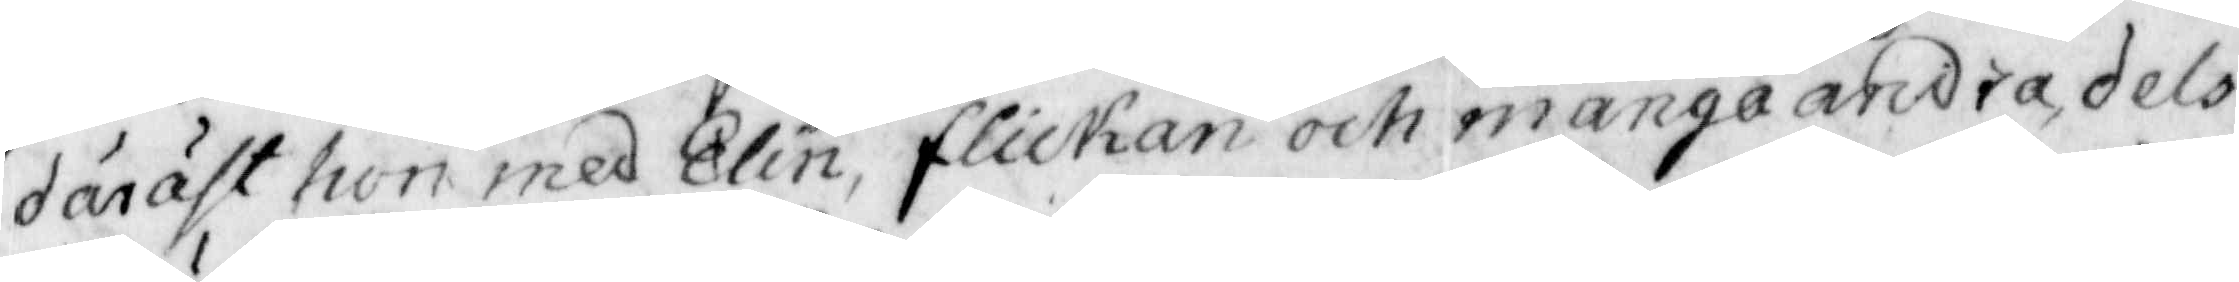däräst hon med Elin, flickan och många andra, dels
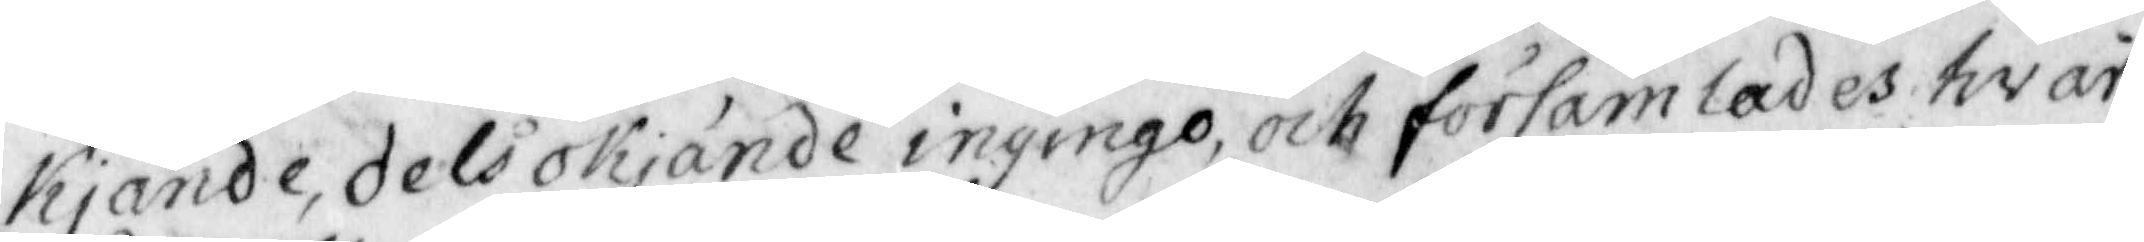Kjände, dels oKjände ingingo och församlades hvar¬
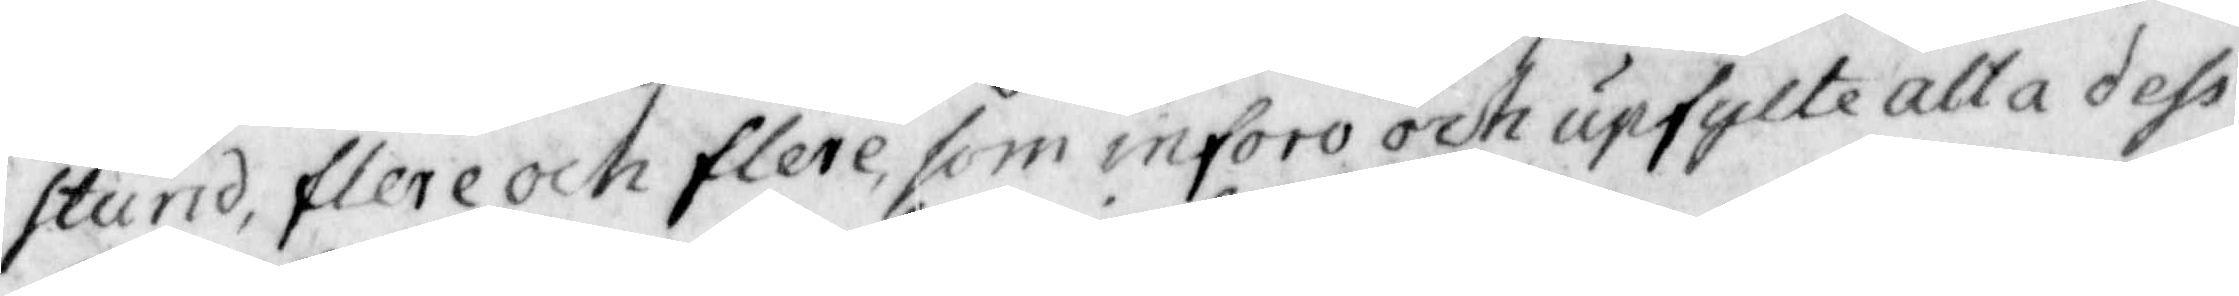stund, flere och flere som inforo och upfylte alla dess
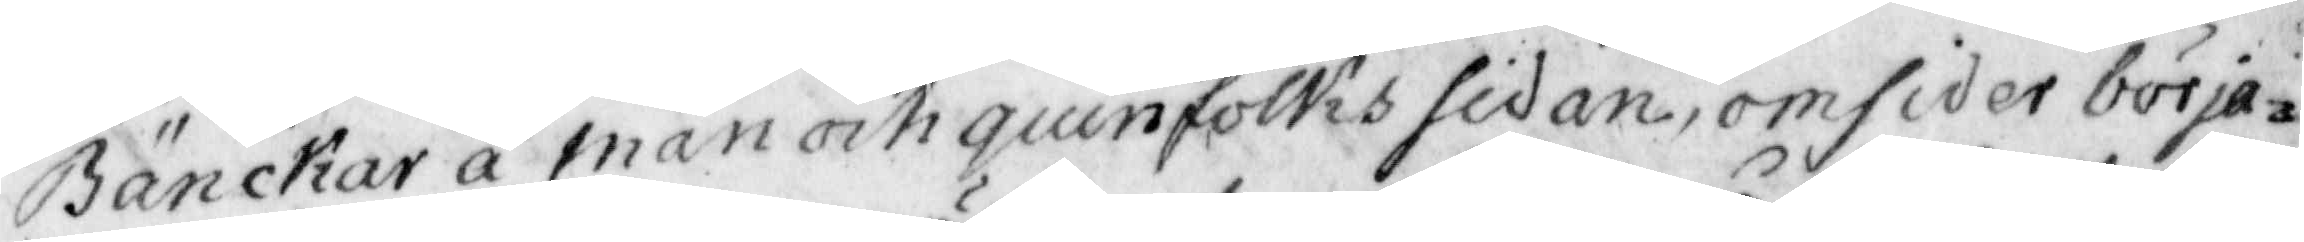Bänckar å man och quinfolcks sidan, omsider börja¬
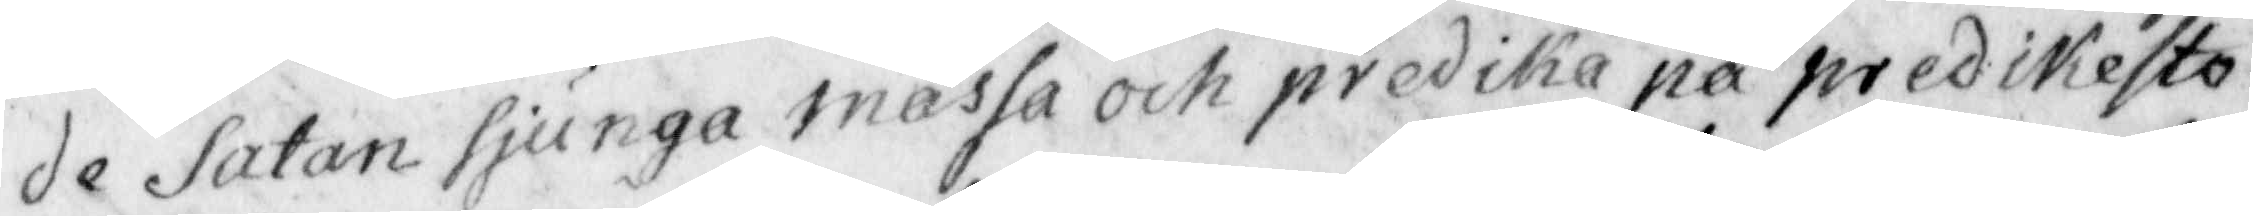de Satan sjunga mässa och predika på prediksto¬
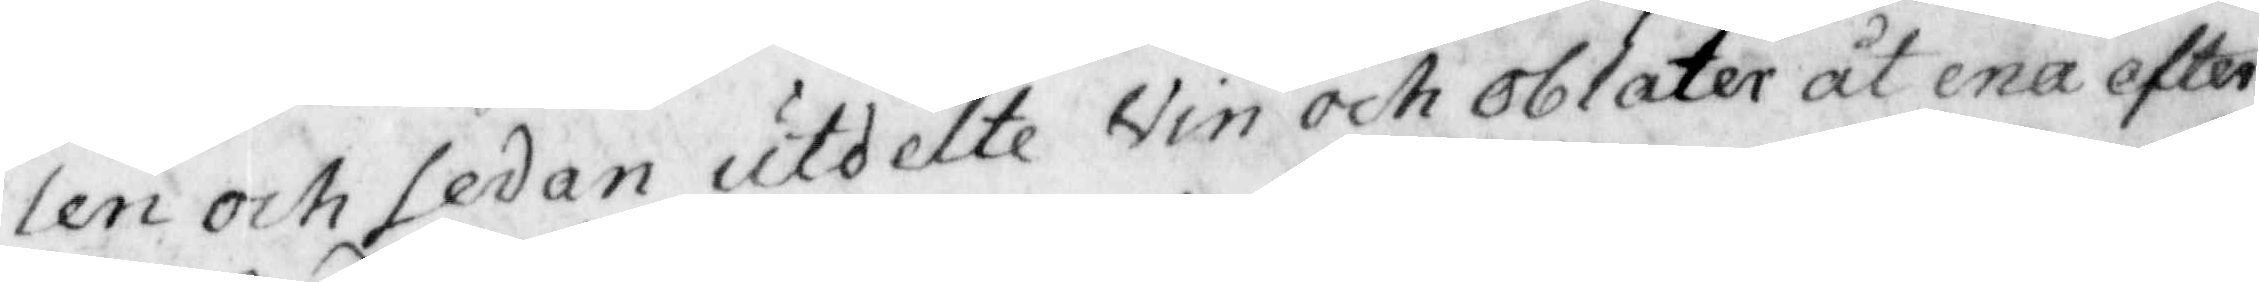len och sedan utdelte Vin och oblater åt ena efter
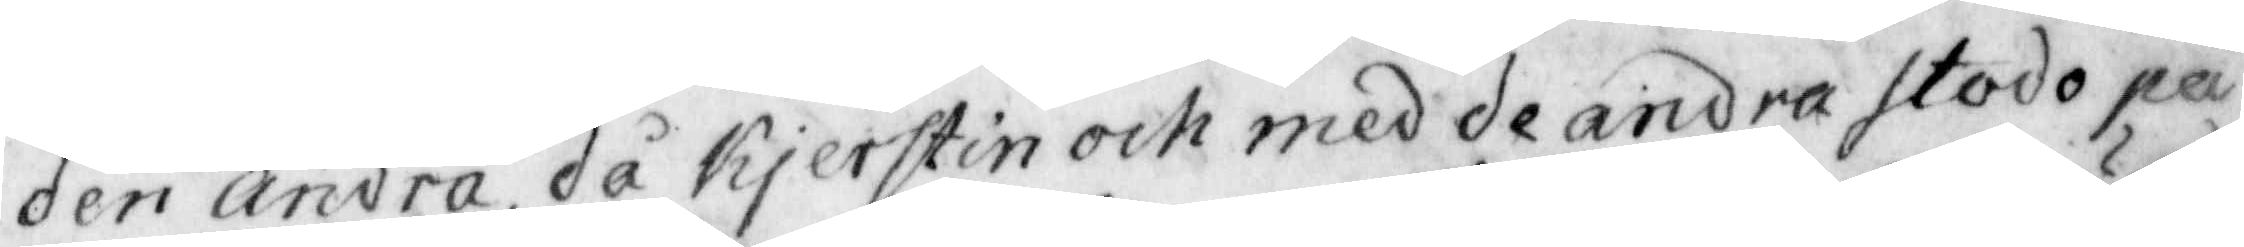den andra då Kjerstin och med de andra stodo på
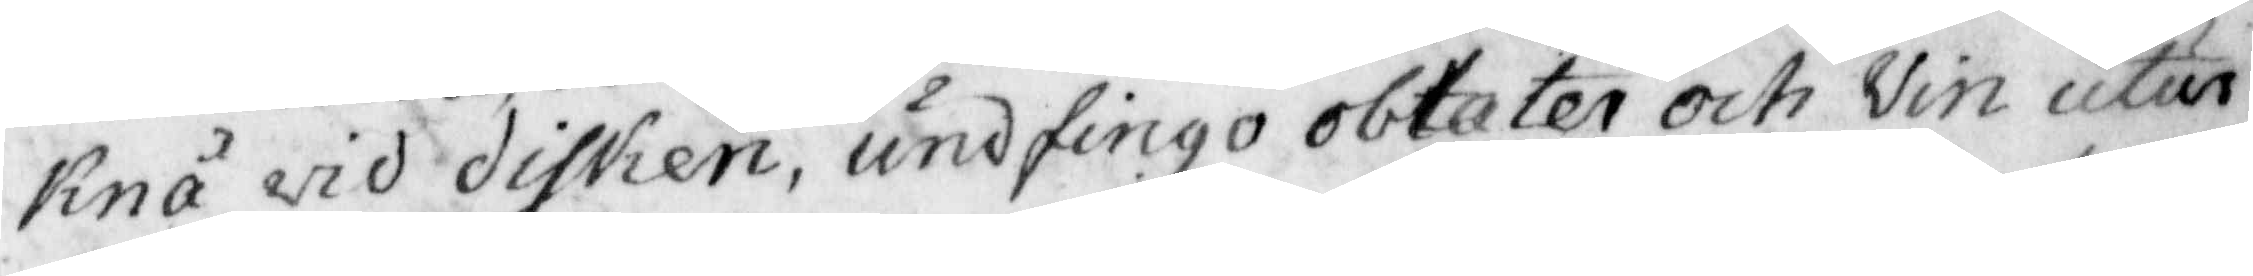Knä wid dicken, undfingo oblaten och Vin utur
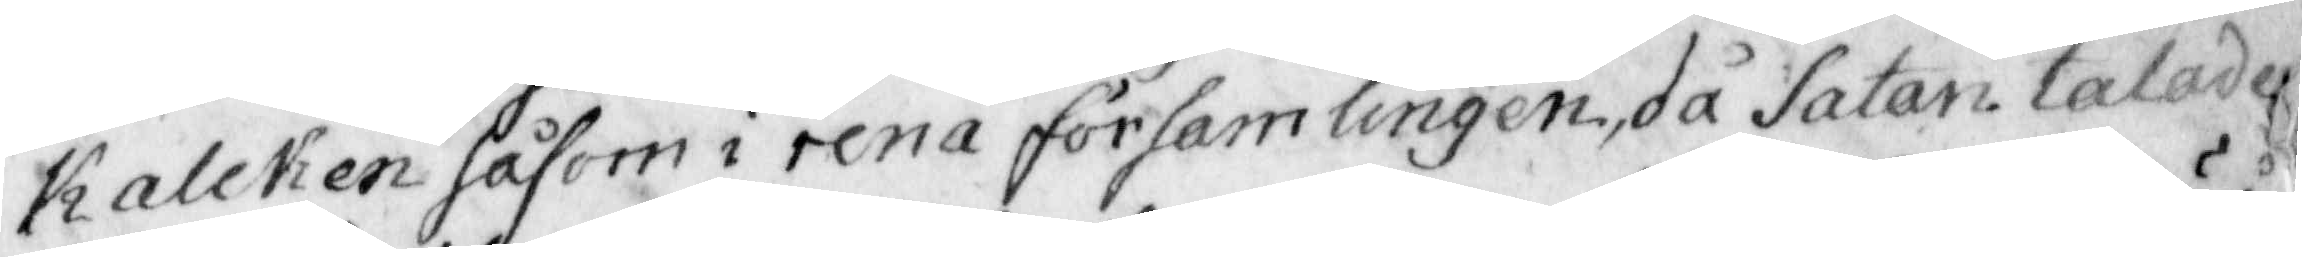Kalcken såsom i rena församlingen, då Satan talade
